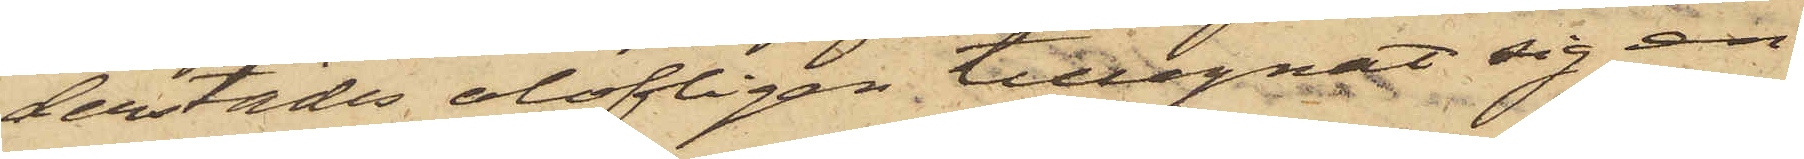derstädes olofligen tillegnat sig en
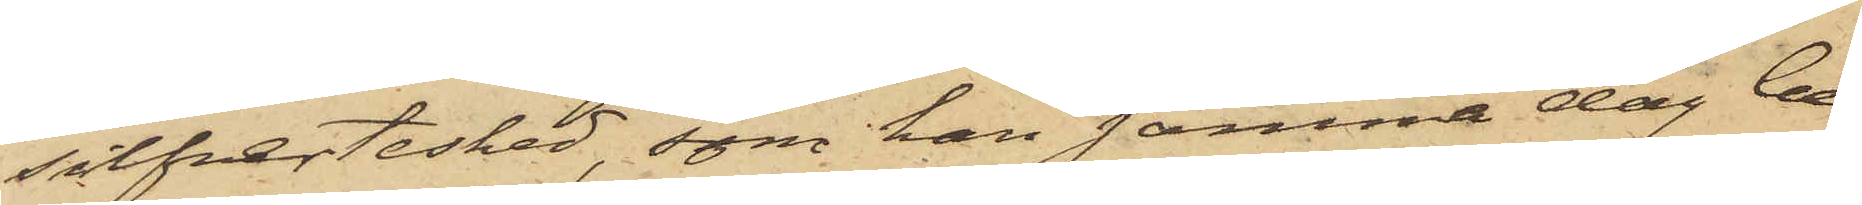silfvertesked, som han samma dag be¬
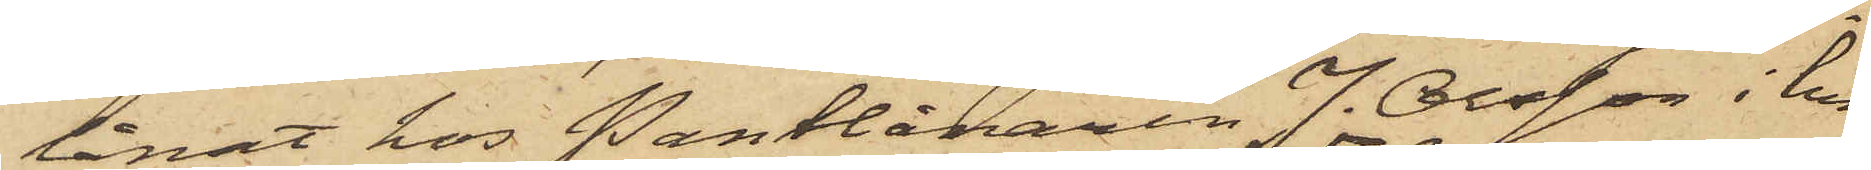lånat hos Pantlånaren J. Olsson i hu¬
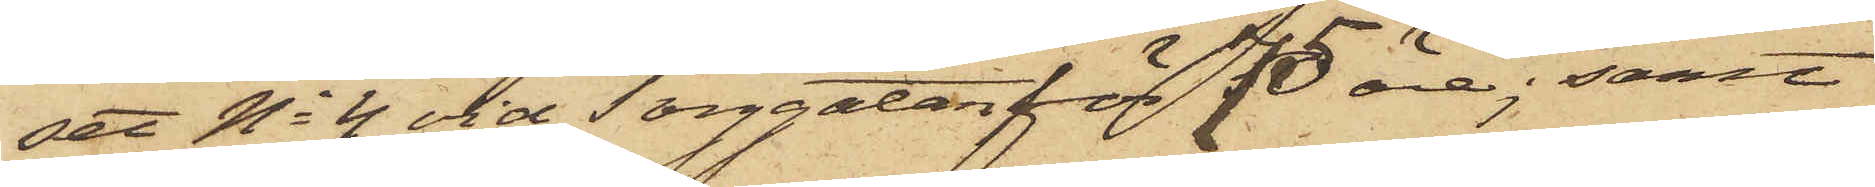set No 4 vid Torggatan för 75 öre; samt
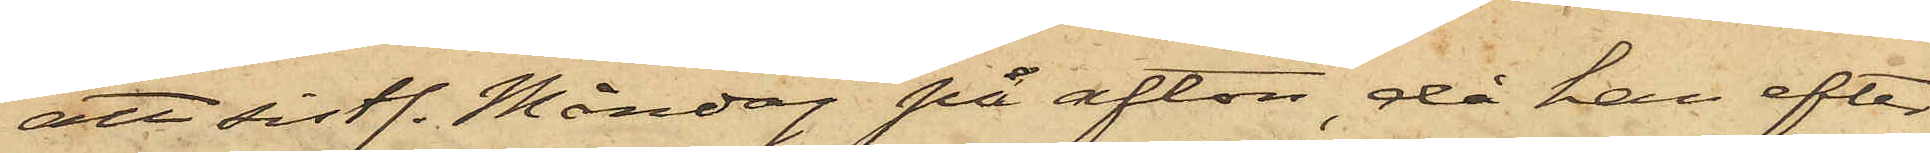att sistl. Måndag på afton, då han efter
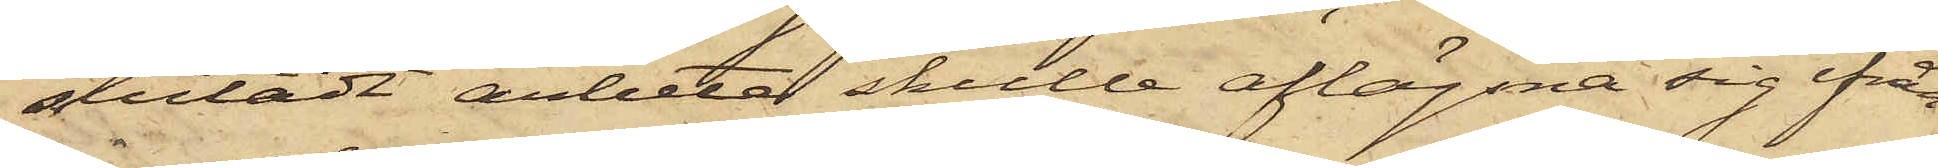slutadt arbete skulle aflägsna sig ifrån
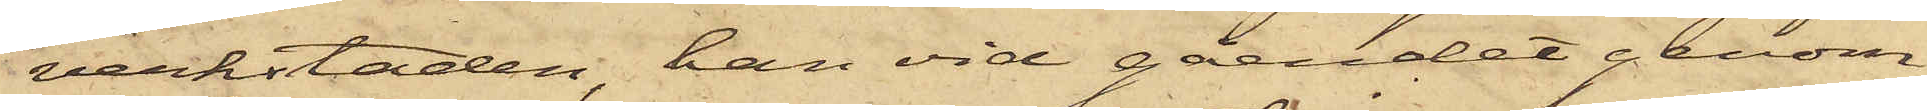verkstaden, han vid gåendet genom
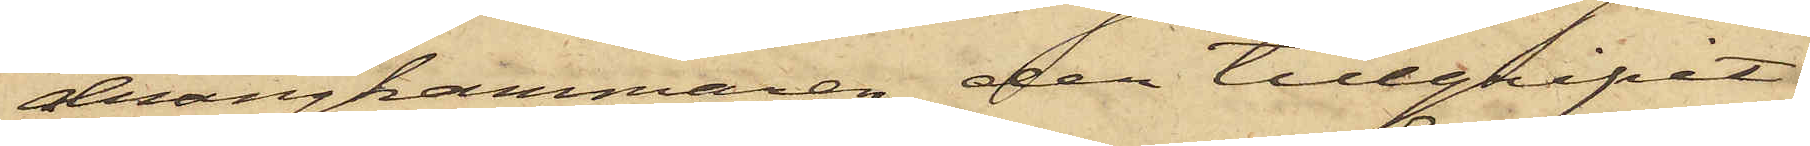drängkammaren der tillgripit
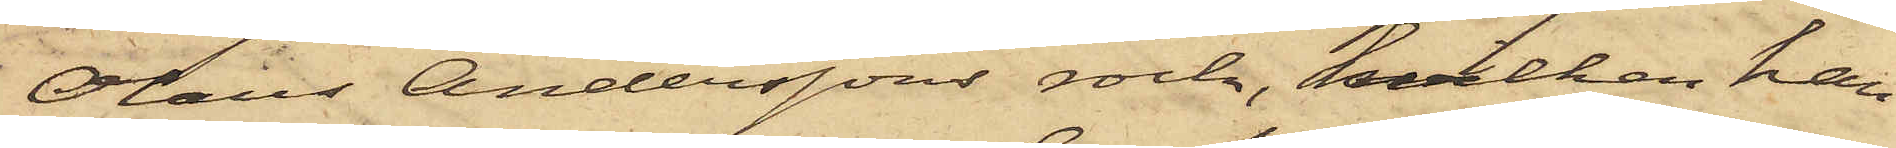Olaus Anderssons rock, hvilken han
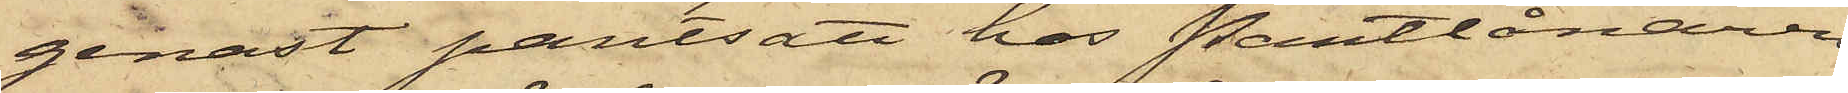genast pantsatt hos Pantlånaren
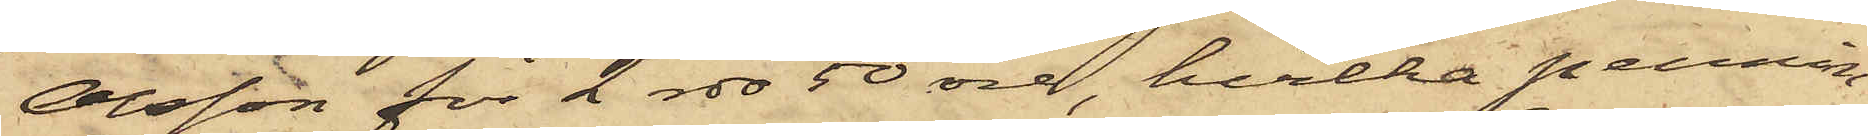Olsson för 2 rdr 50 öre, hvilka pennin¬
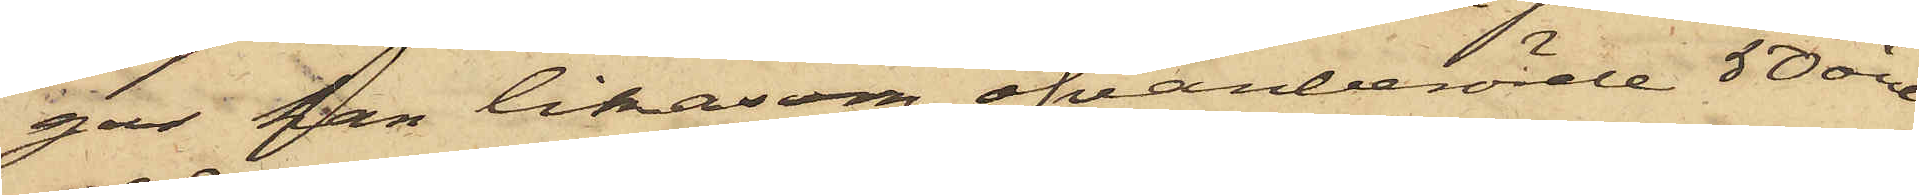gar han likasom ofvanberörde 50 öre
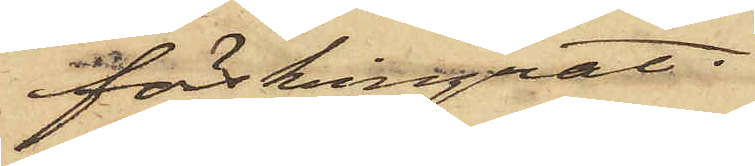förskingrat;
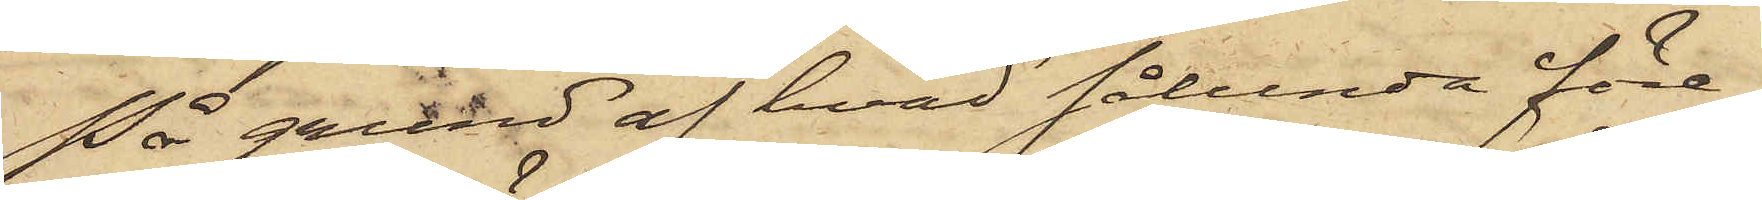På grund af hvad sålunda före¬
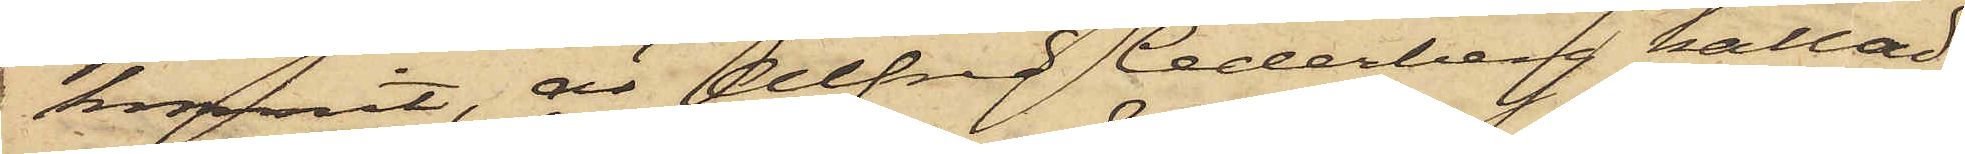kommit, är Alfred Cederberg kallad
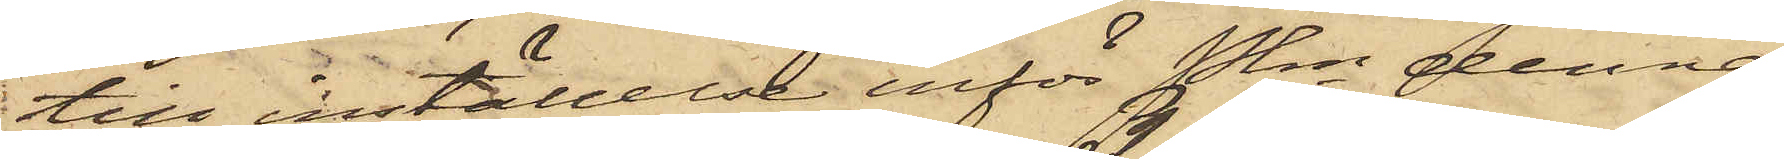till inställelse inför Pkn denna
